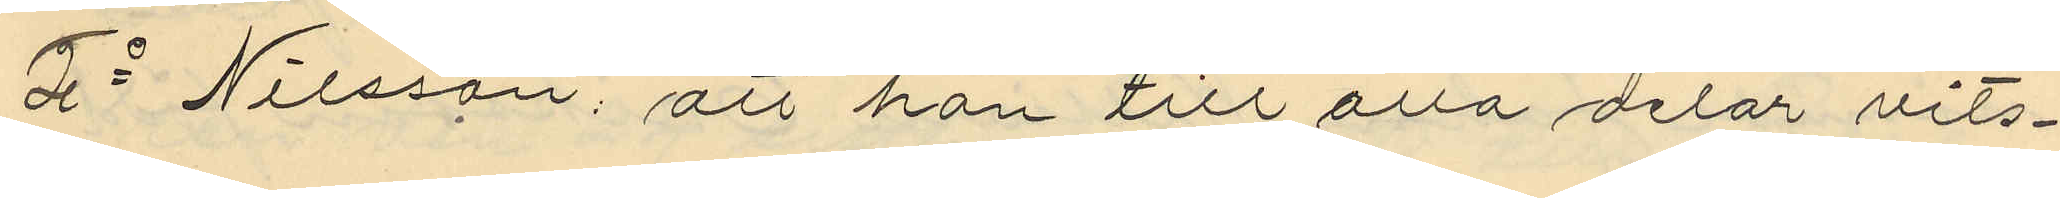2o Nilsson; att han till alla delar vits¬
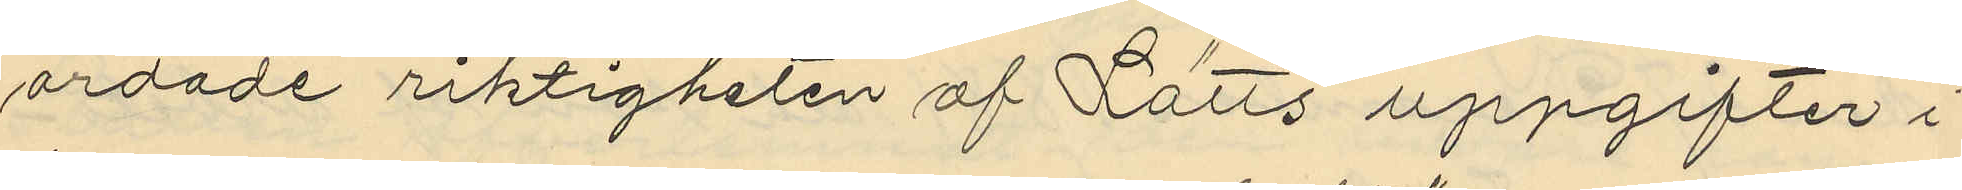ordade riktigheten af Lätts uppgifter i
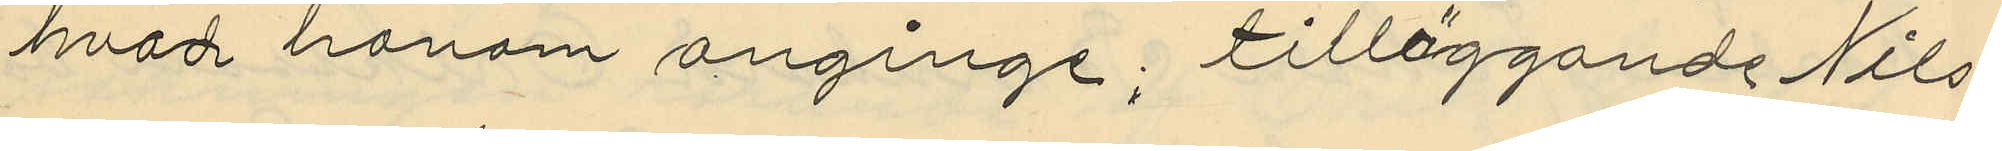hvad honom anginge; tilläggande Nils¬
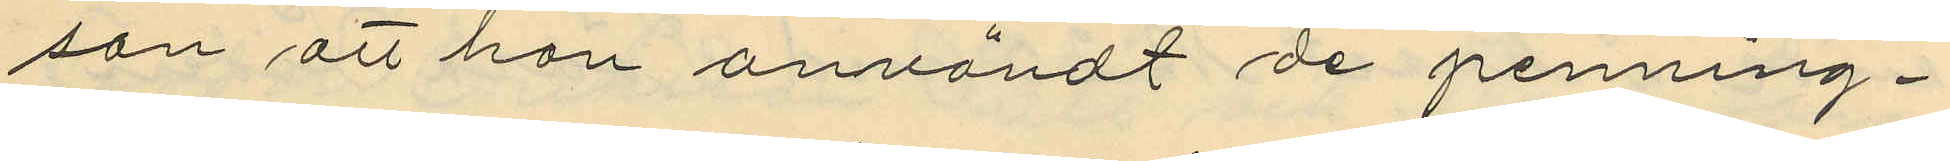son att han användt de penning¬
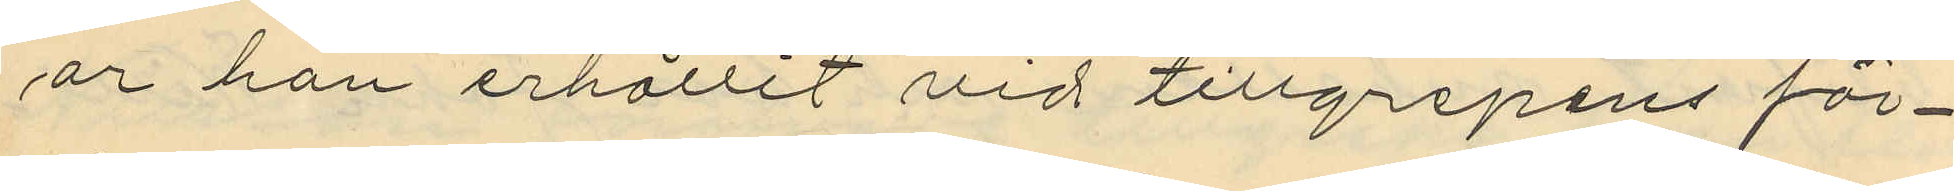år han erhållit vid tillgripens för¬
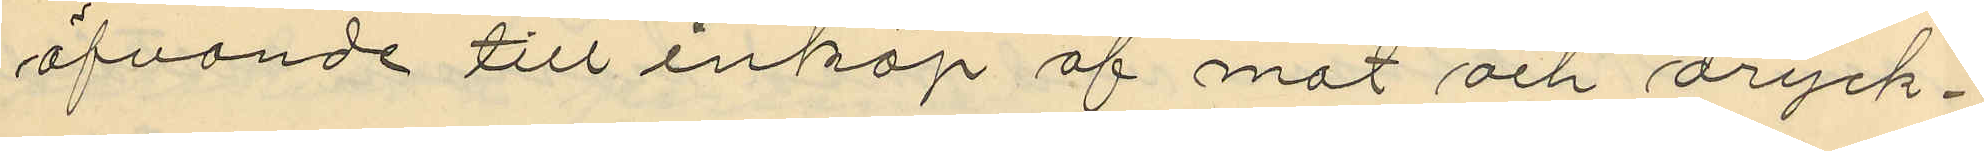öfvande till inköp af mat och dryck¬
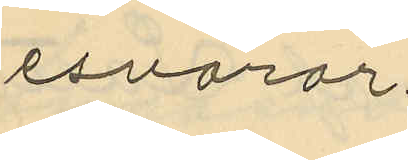esvaror;
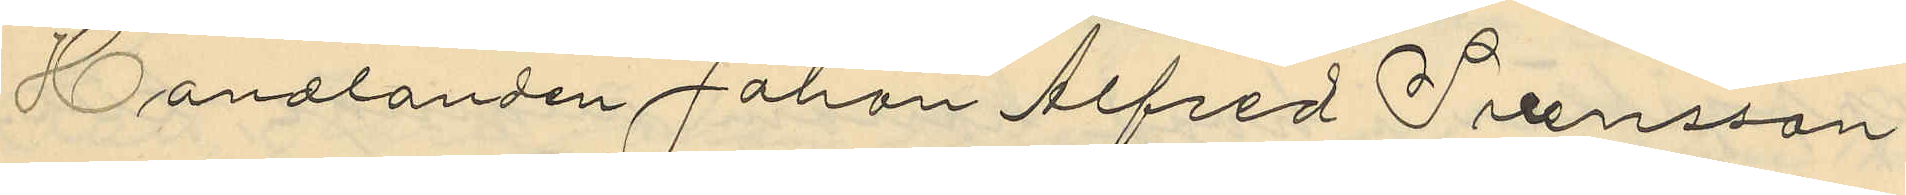Handlanden Johan Alfred Svensson
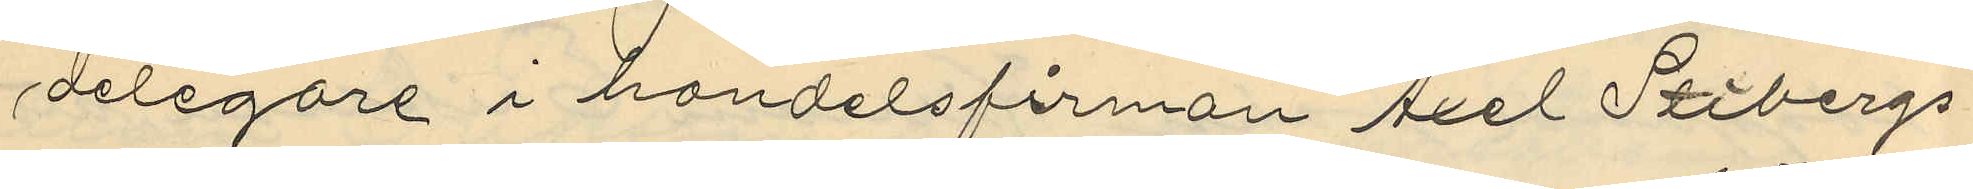delegare i handelsfirman Axel Stibergs
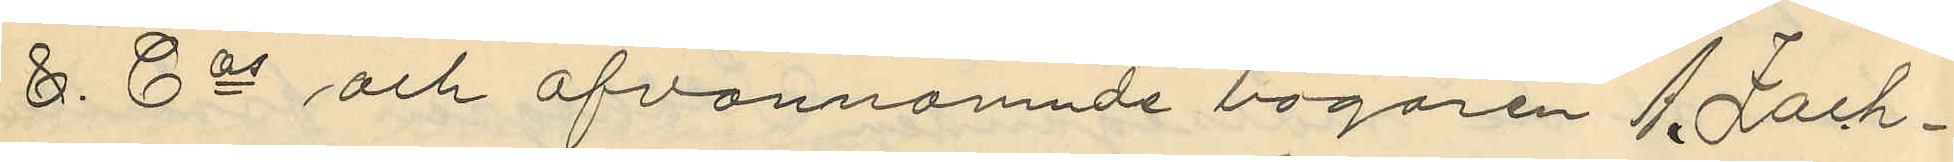&. Co och ofvannämnde bagaren A. Zach¬
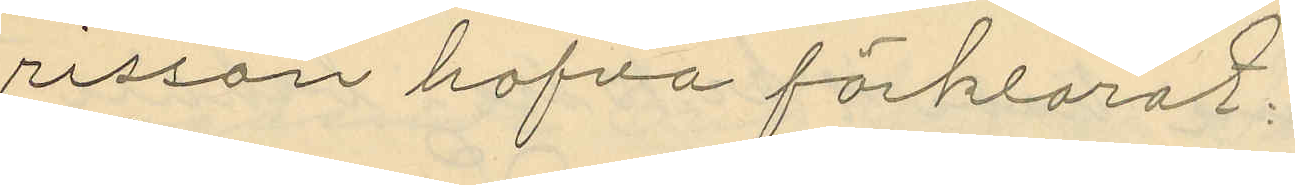risson hafva förklarat:
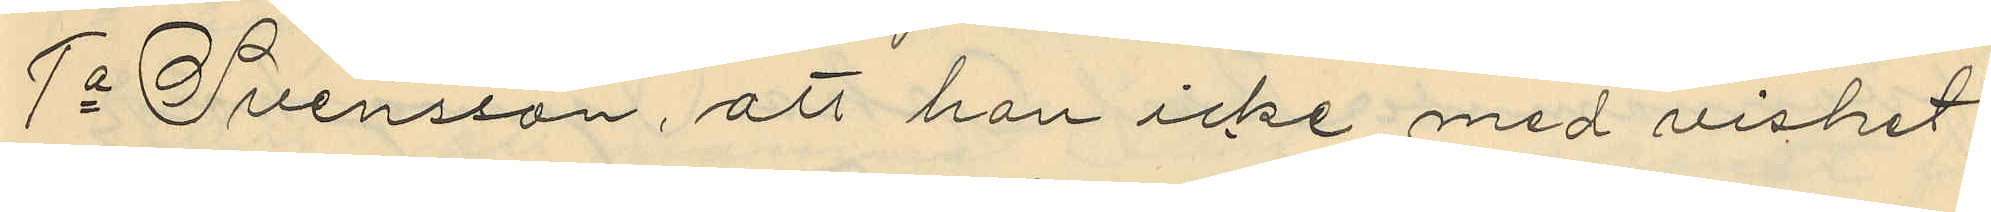1o Svensson, att han icke med vishet
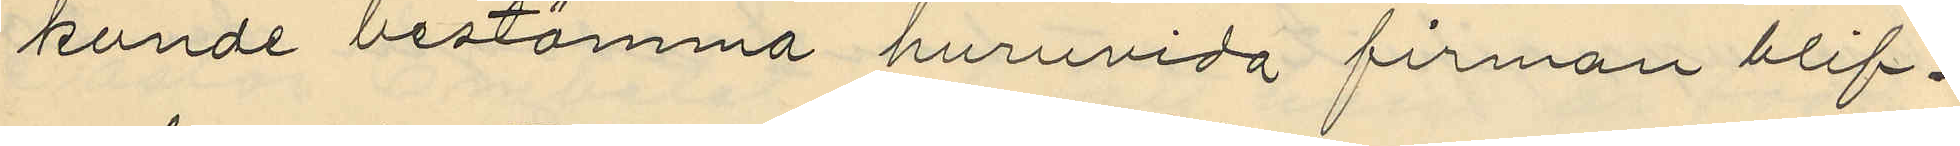kunde bestämma huruvida firman blif¬
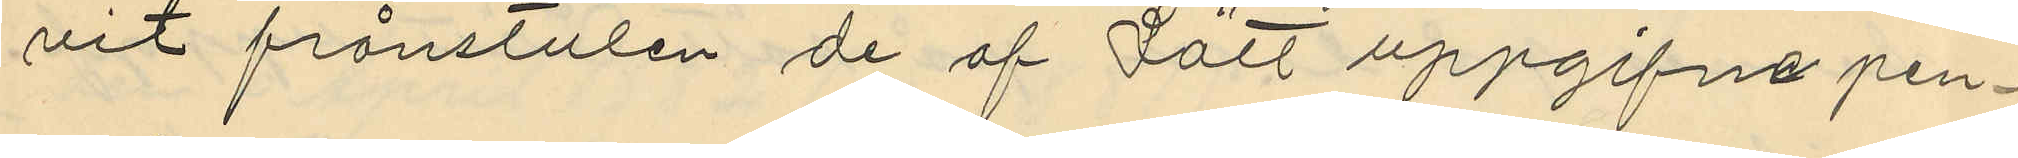vit frånstulen de af Lätt uppgifne pen¬
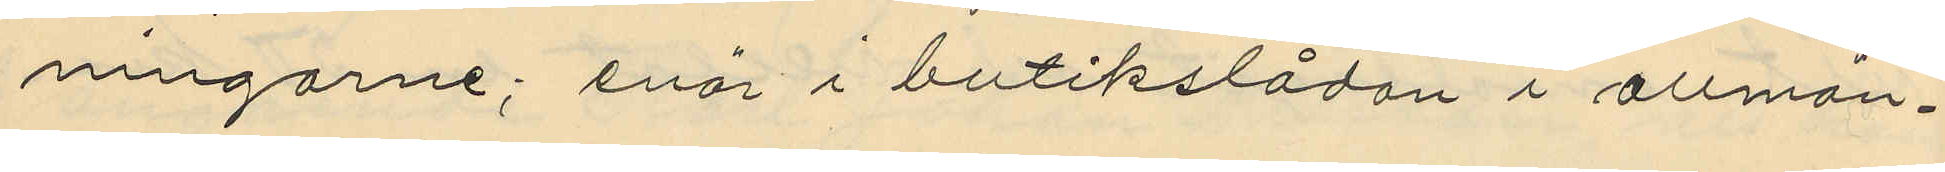ningarne; enär i butikslådan i allmän¬
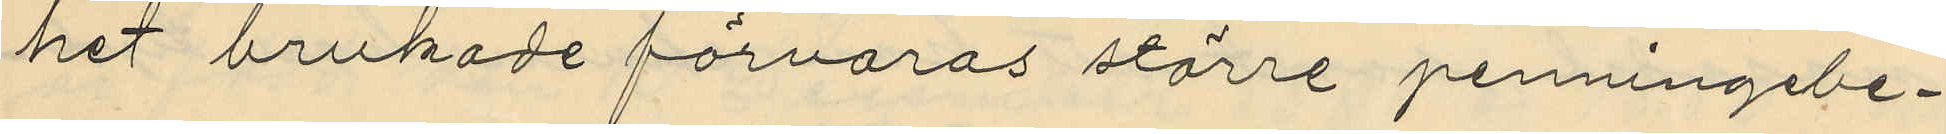het brukade förvaras större penningebe¬
